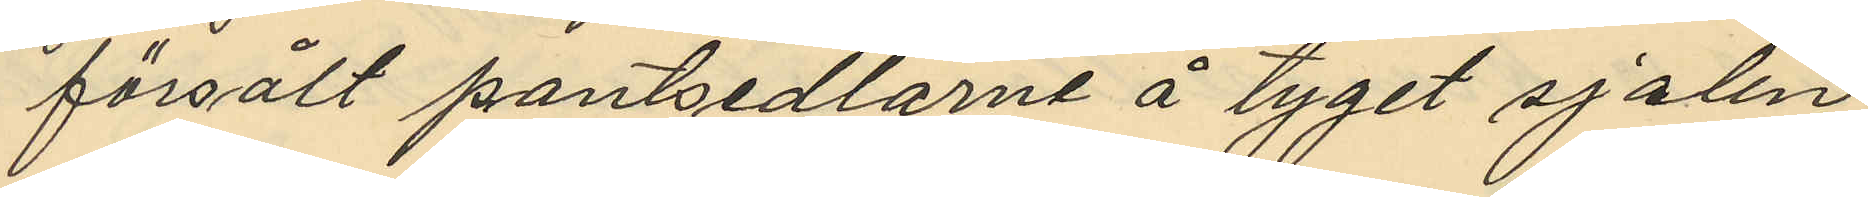försålt pantsedlarne å tyget, sjalen
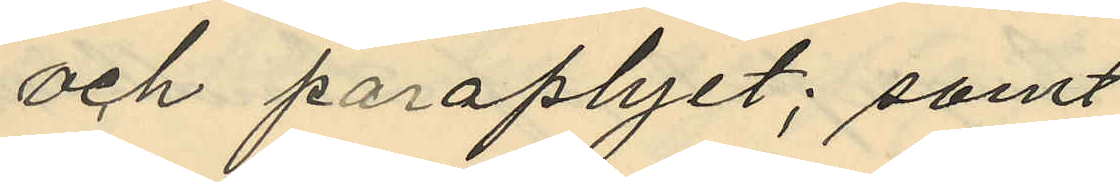och paraplyet; samt
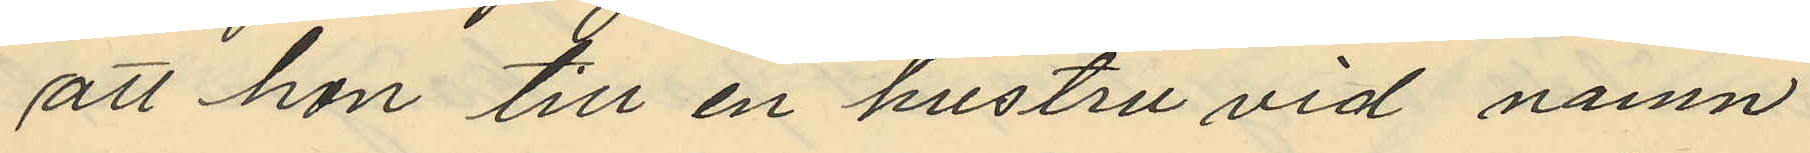att hon till en hustru vid namn
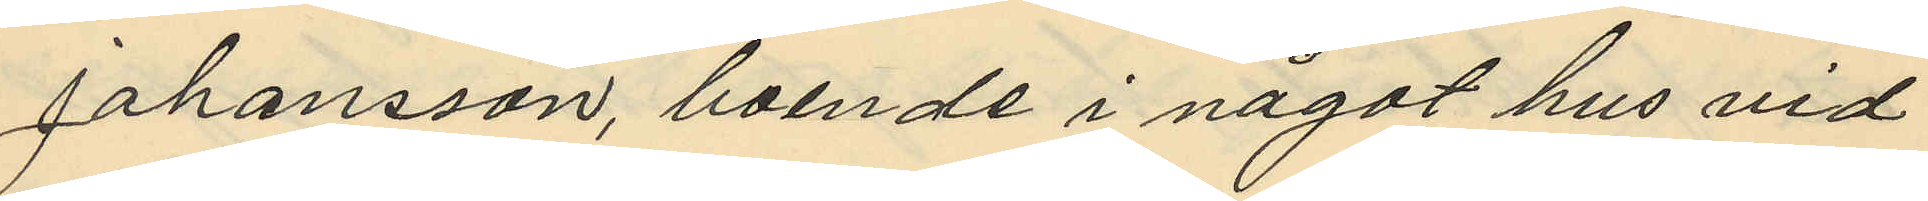Johansson, boende i något hus vid
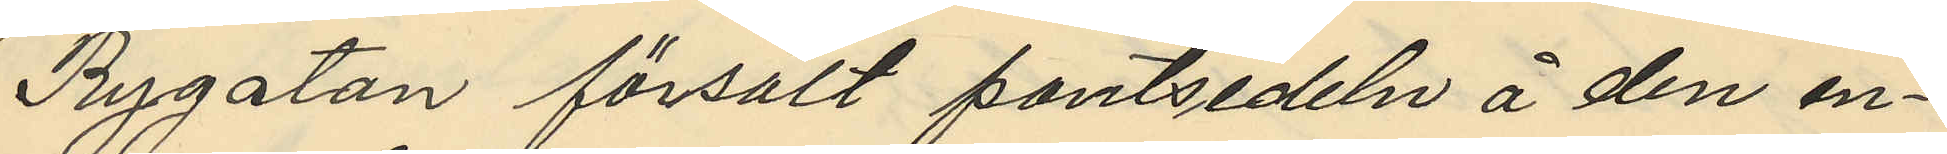Rygatan försålt pantsedeln å den en¬
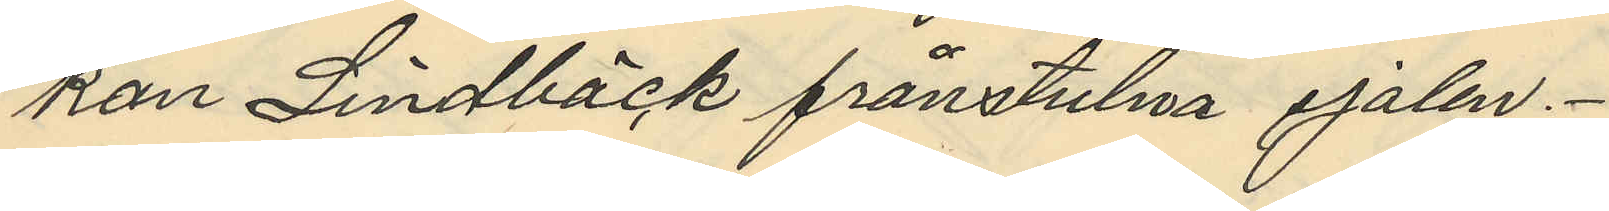kan Lindbäck frånstulna sjalen.
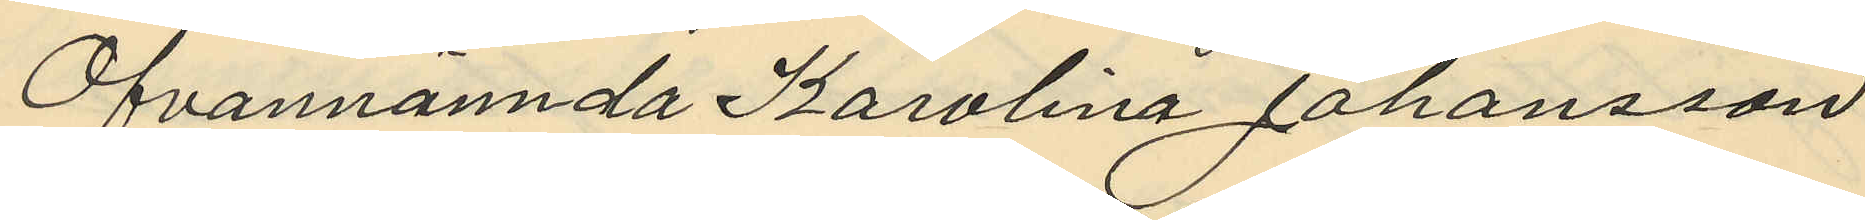Ofvannämnda Karolina Johansson
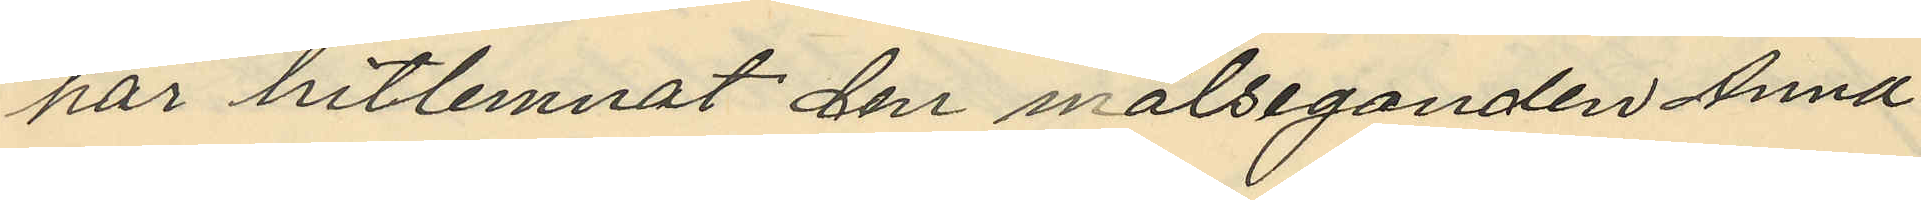har hitlemnat den målseganden Anna
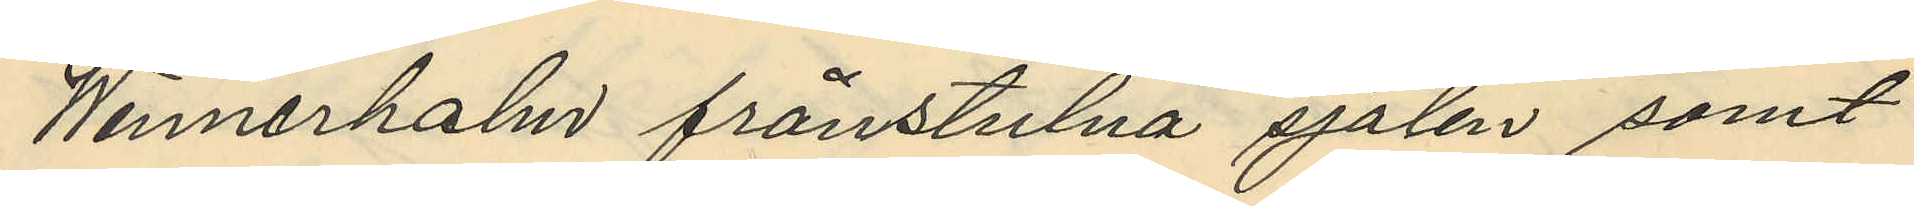Wennerholm frånstulna sjalen samt
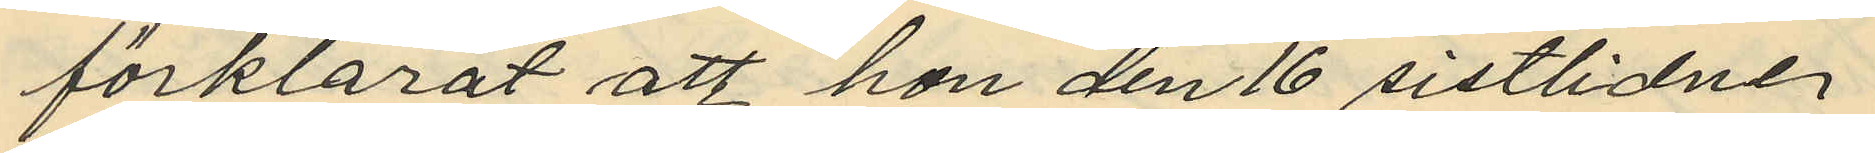förklarat att hon den 16 sistlidne
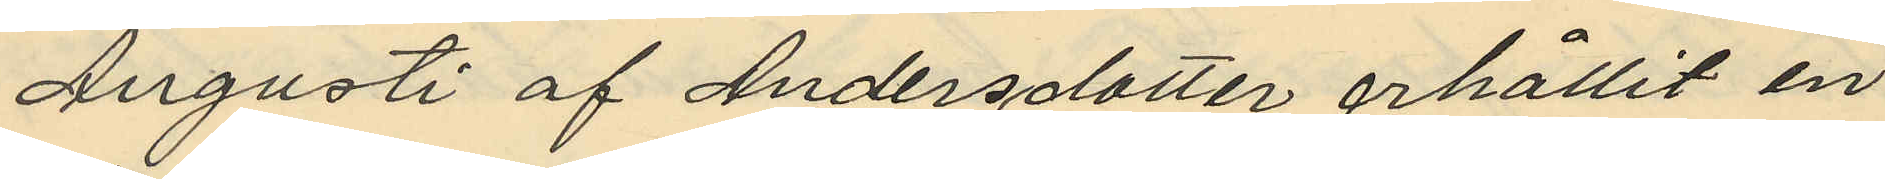Augusti af Andersdotter erhållit en
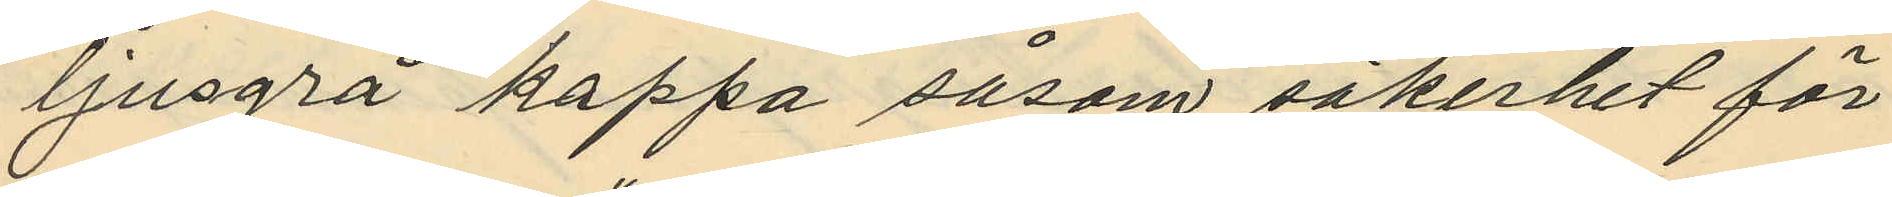ljusgrå kappa såsom säkerhet för
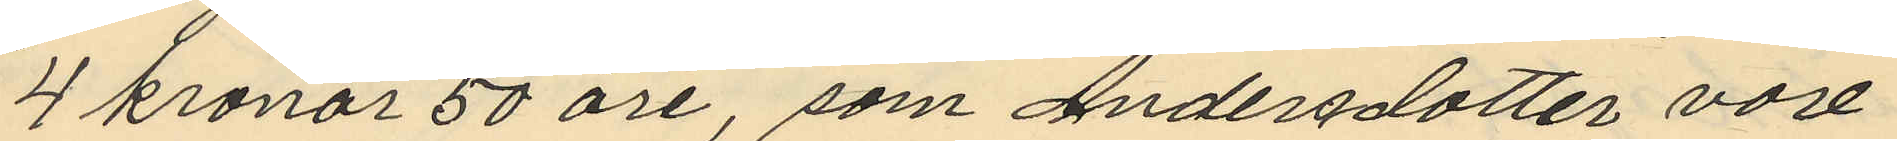4 kronor 50 öre, som Andersdotter vore
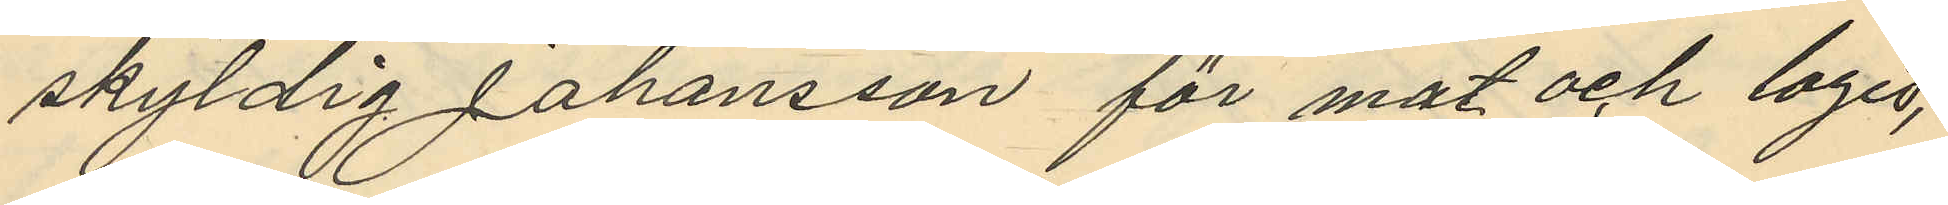skyldig Johansson för mat och logis,
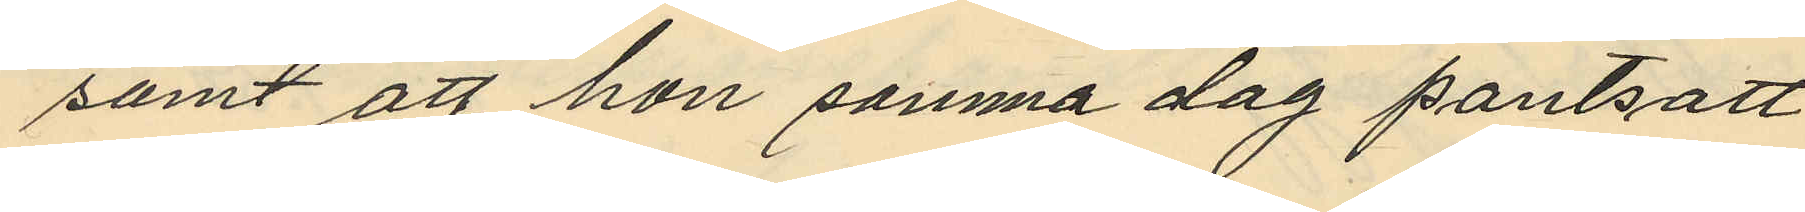samt att hon samma dag pantsatt
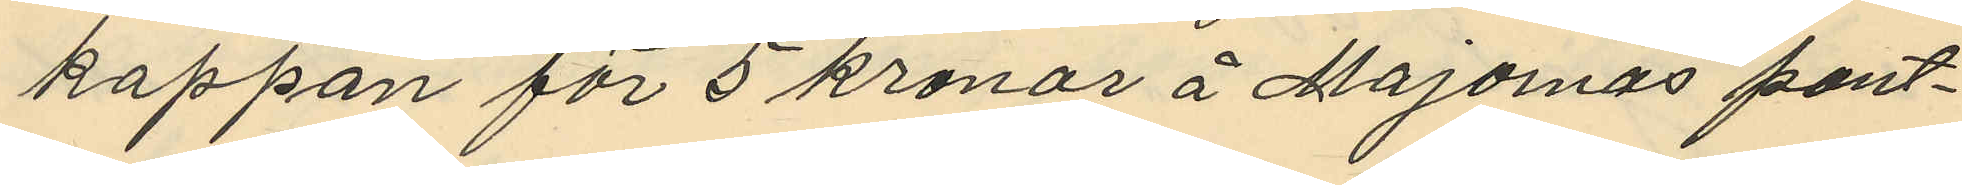kappan för 5 kronor å Majornas pant¬
